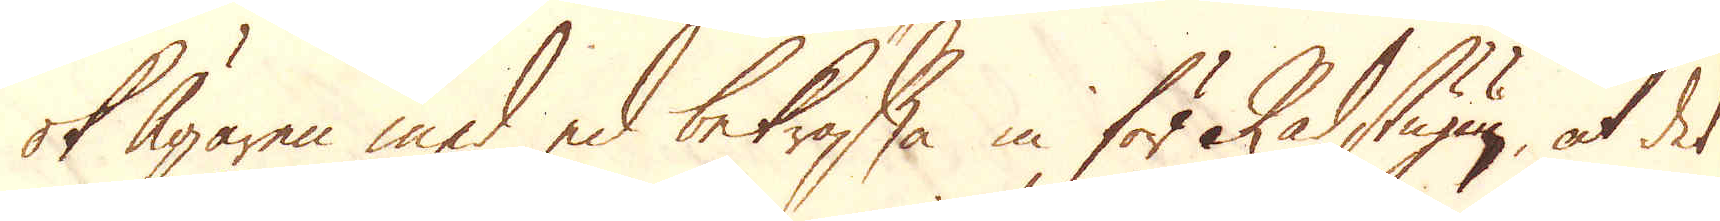ok Ägaren med ed bekräfta in för Rådstugun, at det
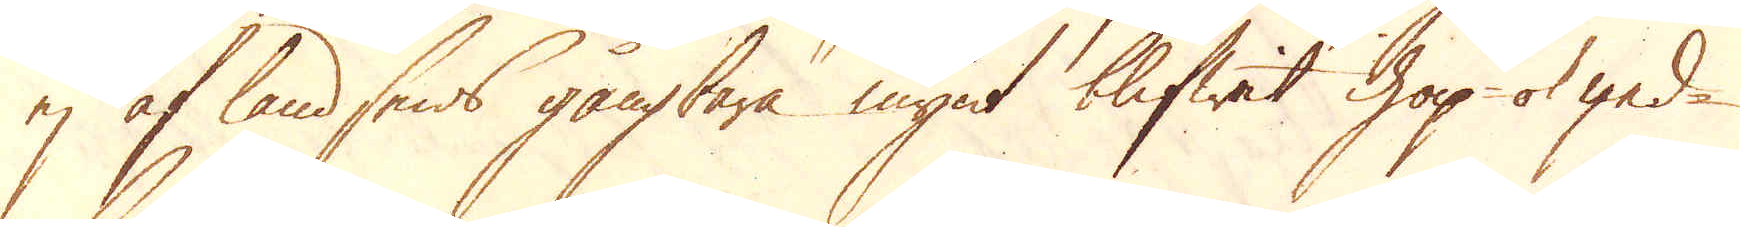ej af landsens gångbara mynt blifwit ihop ok ged-
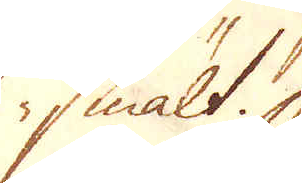smält.
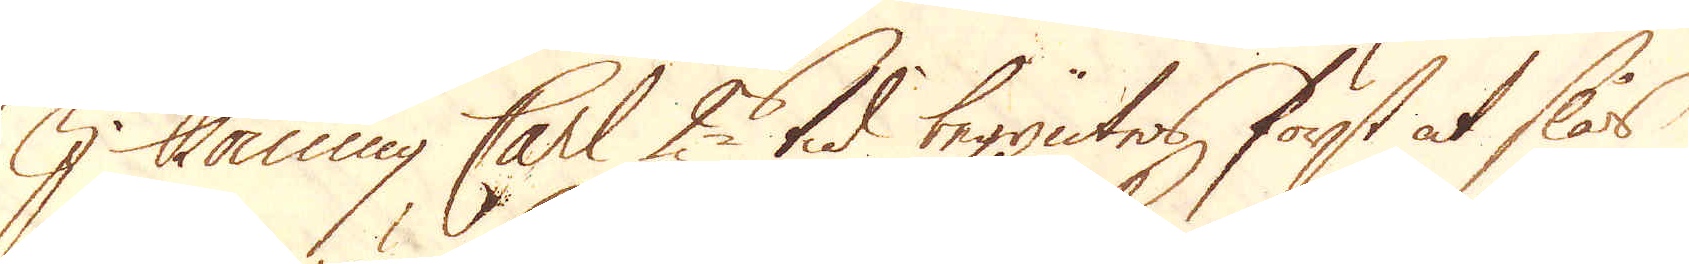I Konung Carl 2s tid begyntes först at slås
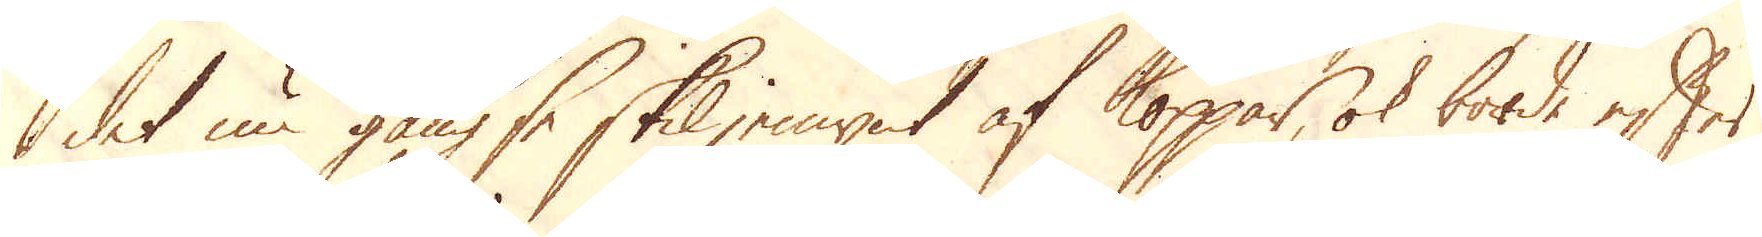det nu gängse skiljemynt af koppar, ok borde efter
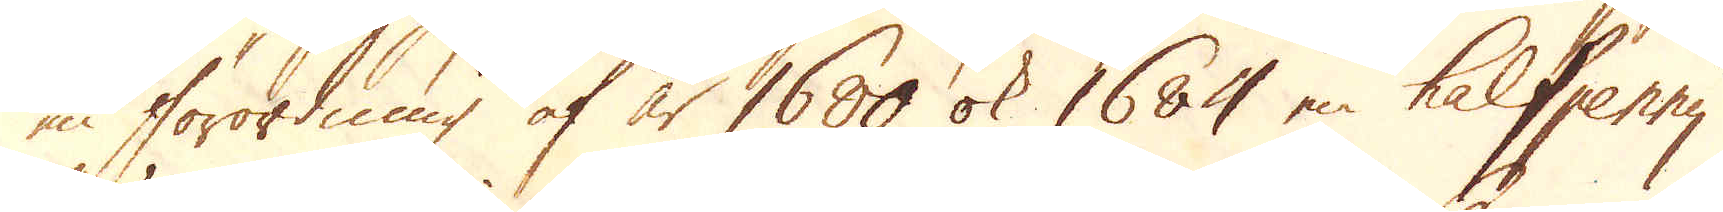en förordning af år 1600 ok 1684 en halfpenny
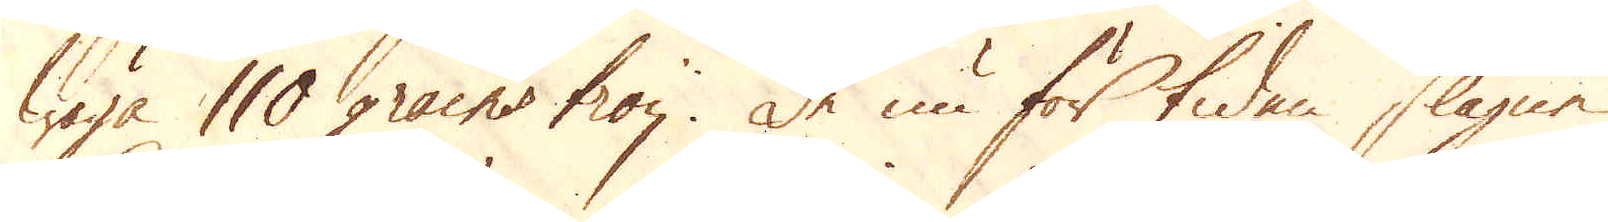wäga 110 grains troy. De nu för tiden slagne
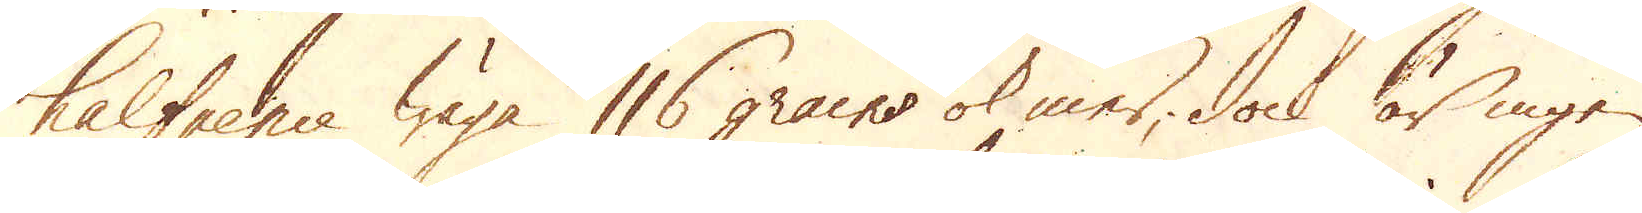halfpence wäga 116 grains ok mer, dock är ingen
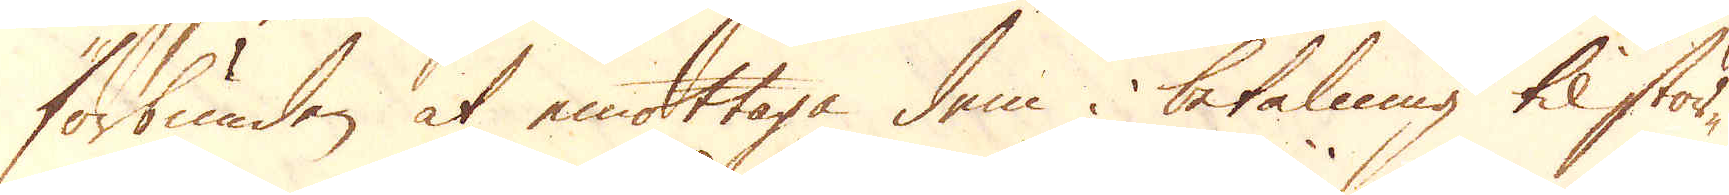förbunden at emottaga dem i betalning til stör-
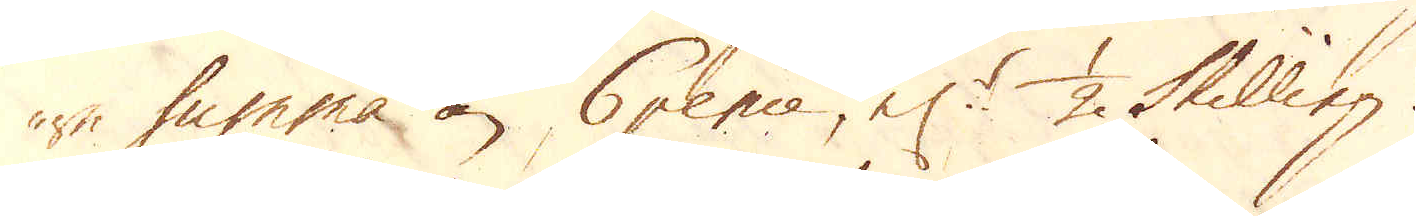re summa än 6 pence, el:r 1/2 Skilling.
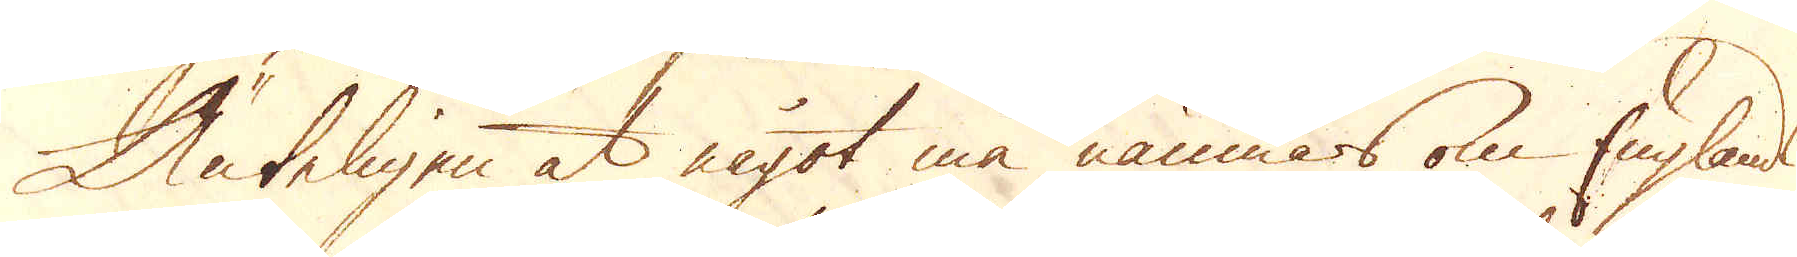Änteligen at något må nämnars om Englands
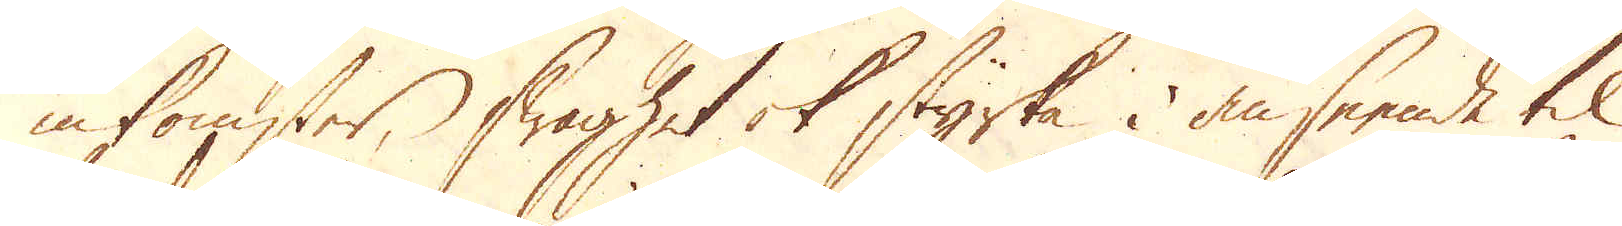inkomster, swaghet ok styrka, i anseende til
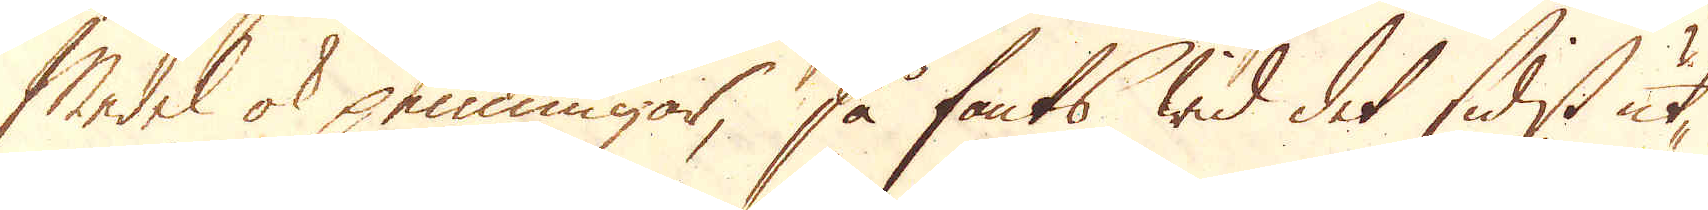Medel ok penningar, så fants wid det sidst ut-
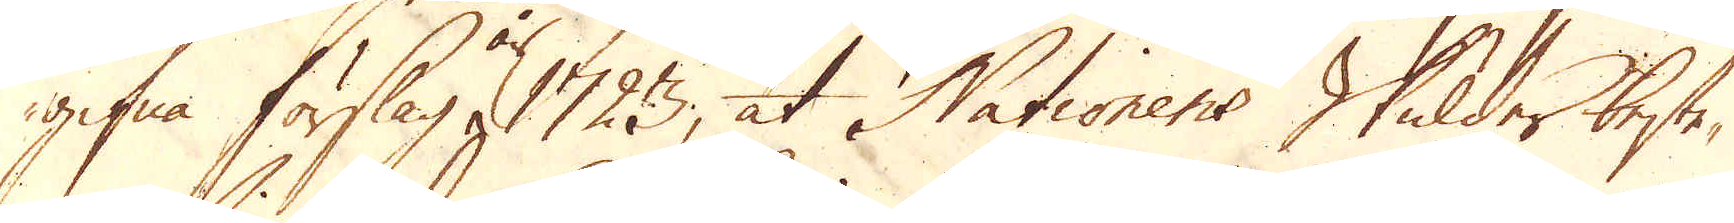gifwa förslag, 1723, at Nationens Skulder beste-
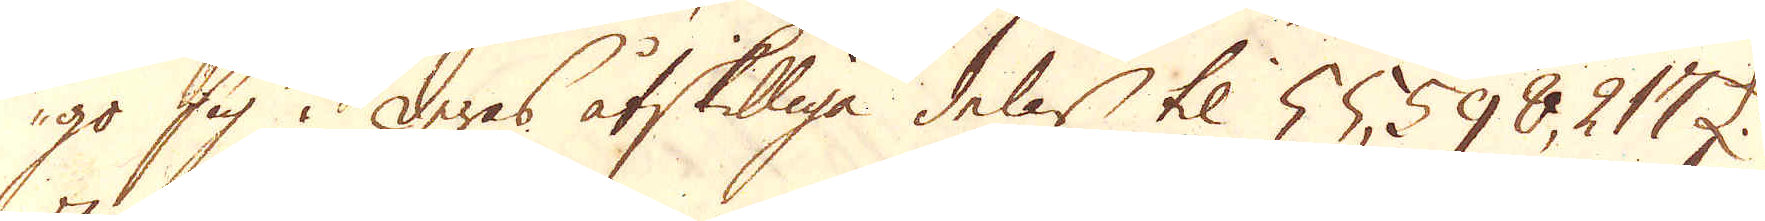go sig i deras åtskilliga delar til 55598,217 £.
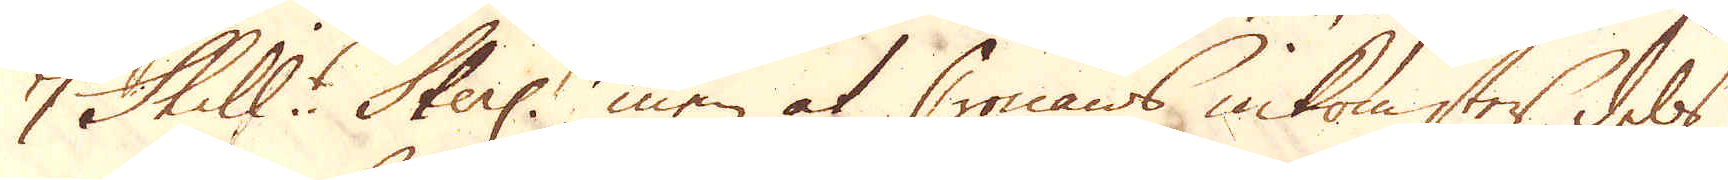7 Skill:r Sterl: men at Cronans inkomster dels
